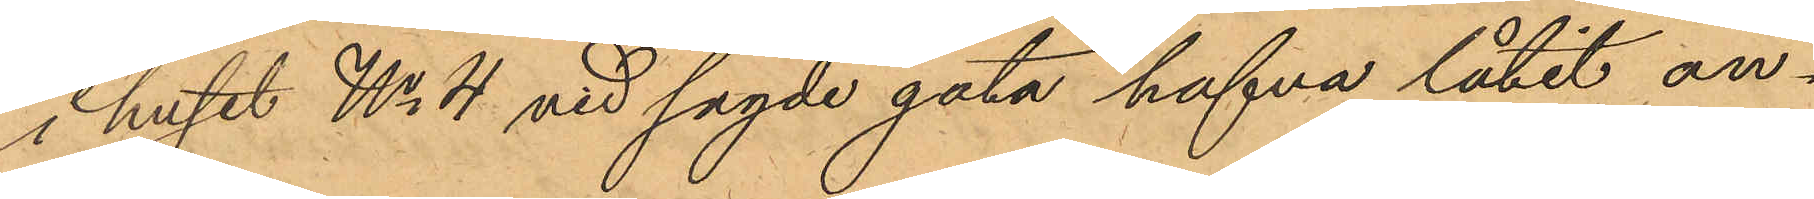i huset No 4 vid sagde gata hafva låtit an¬
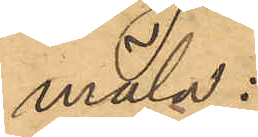mäla:
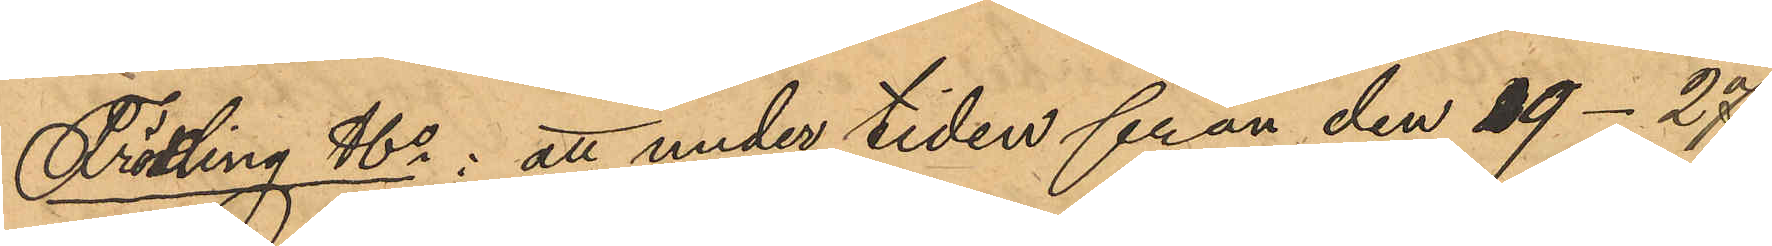Frödling & Co: att under tiden från den 19-27
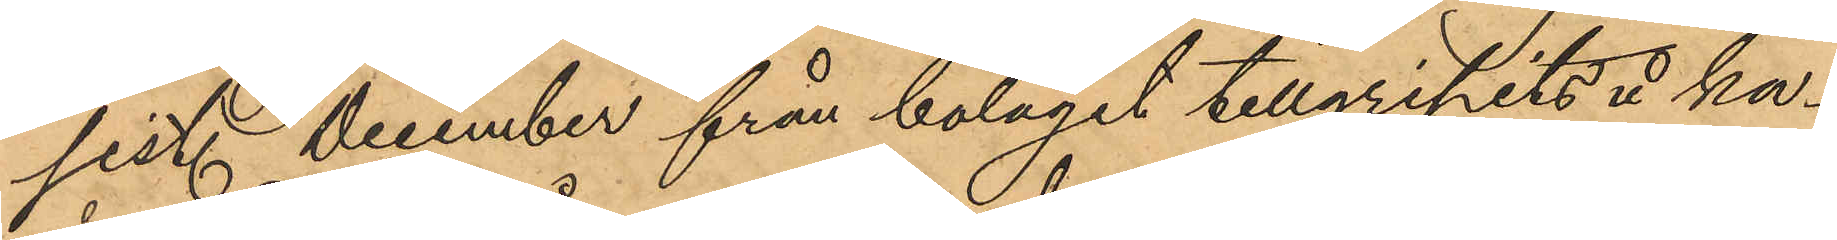sist. December från bolaget tillgripits å ka¬
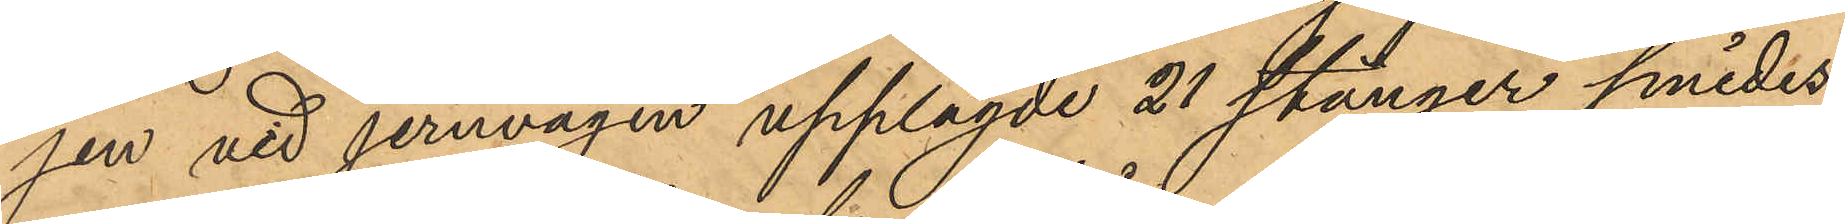jen vid jernvågen upplagde 21 stänger smides¬
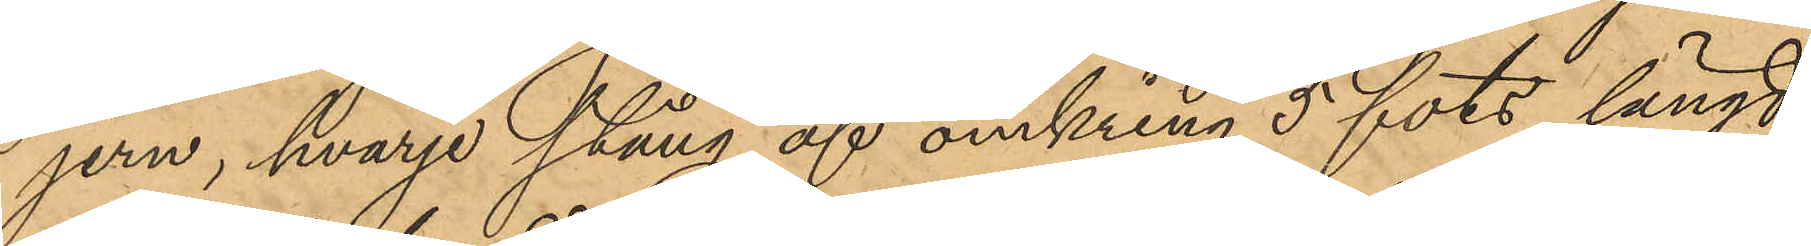jern, hvarje stång af omkring 5 fots längd,
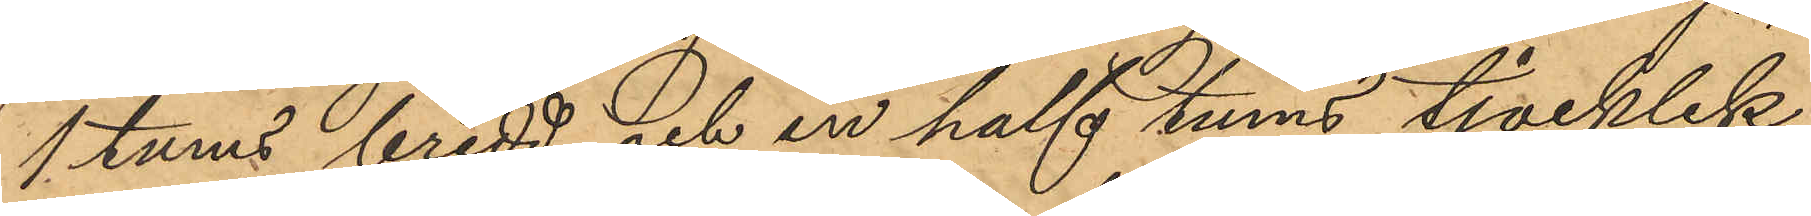1 tums bredd och en half tums tjocklek
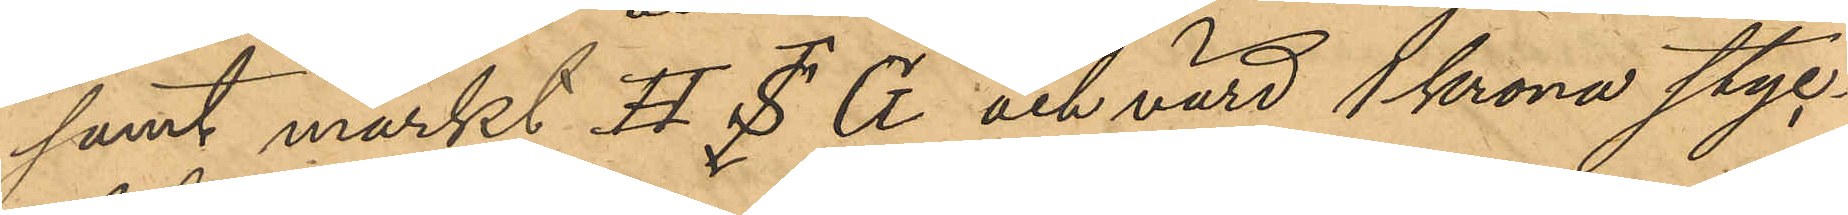samt märkt H. S. G och värd 1 krona styc¬
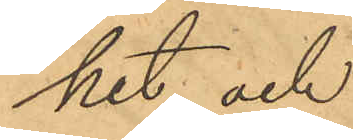het, och
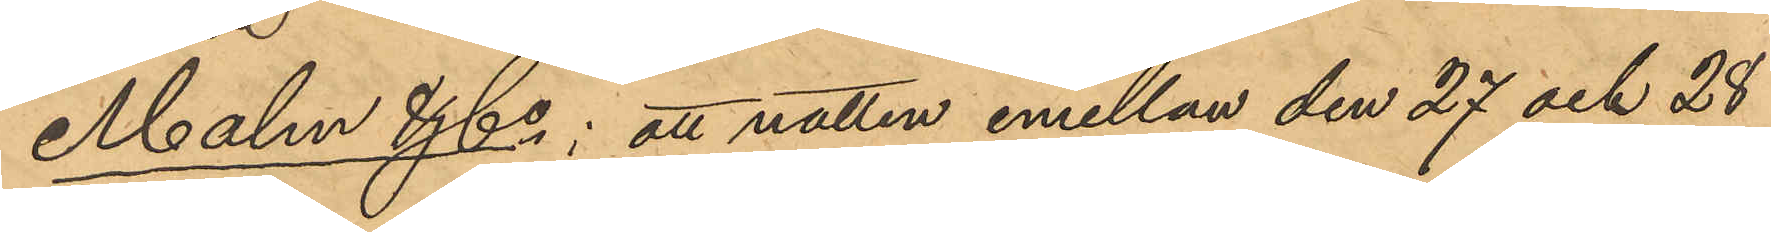Malm & Co: att natten emellan den 27 och 28
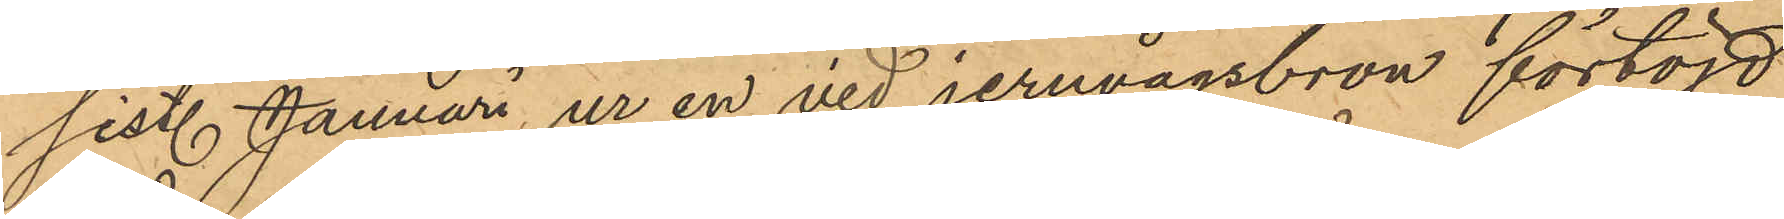sist. Januari ur en vid jernvågsbron förtöjd
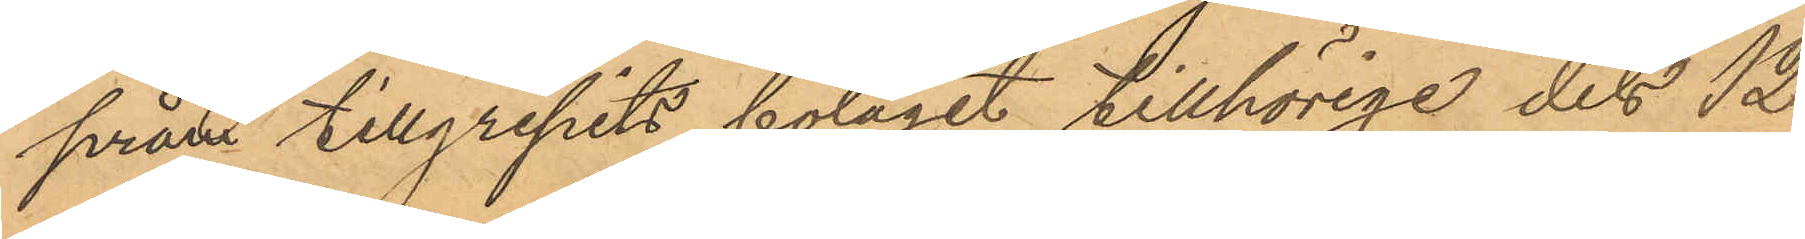pråm tillgripits bolaget tillhörige dels 12
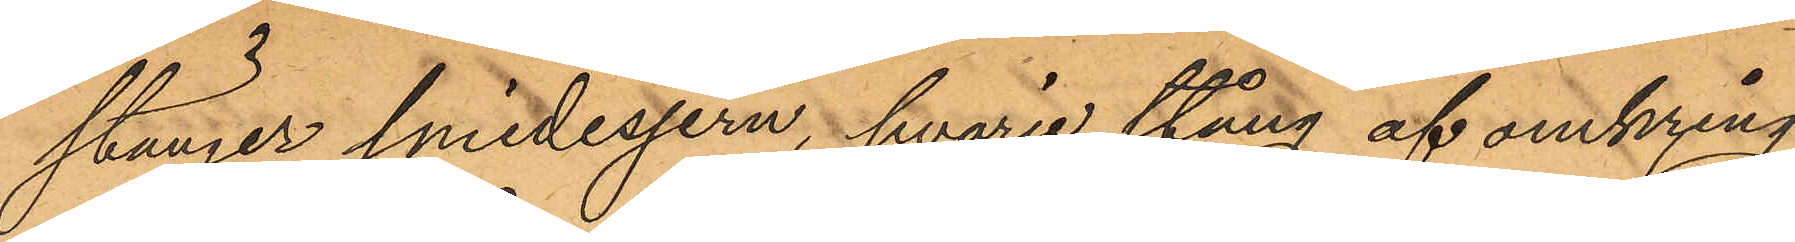stänger smidesjern, hvarje stång af omkring
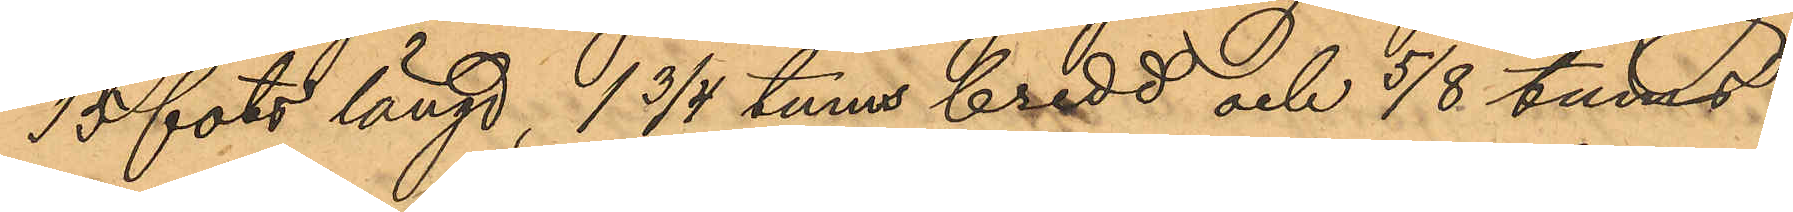15 fots längd, 1 3/4 tums bredd och 5/8 tums
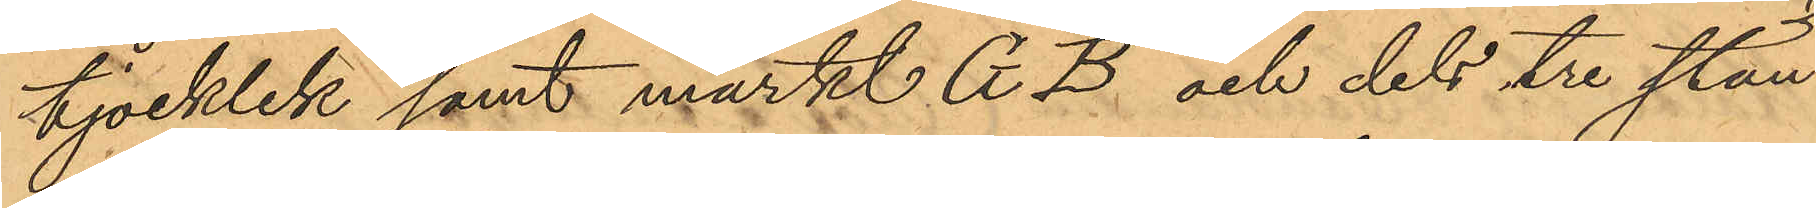tjocklek samt märkt G B och dels tre stän¬
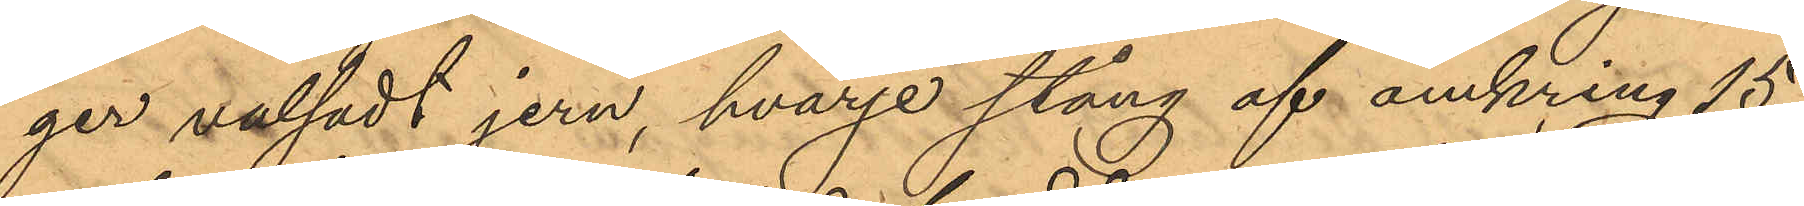ger valsadt jern, hvarje stång af omkring 15
